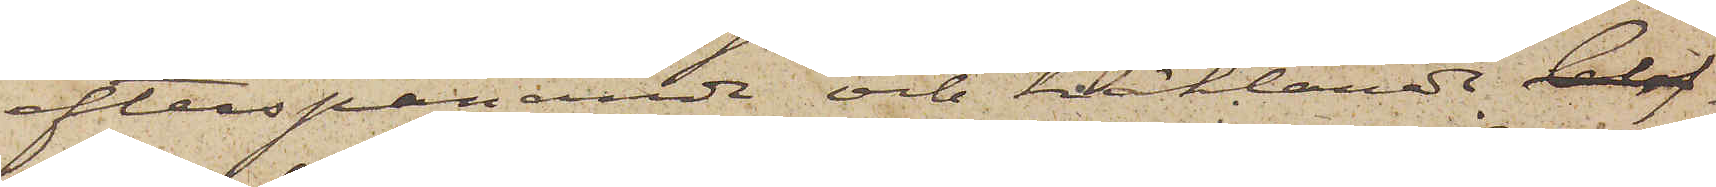efterspanande och häktande blif¬
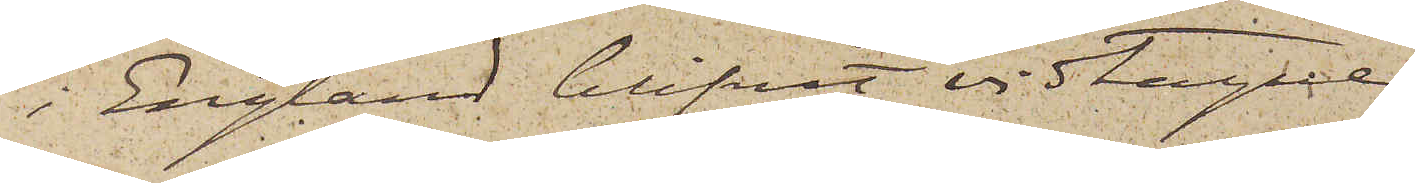i England blifvit vidtagne.
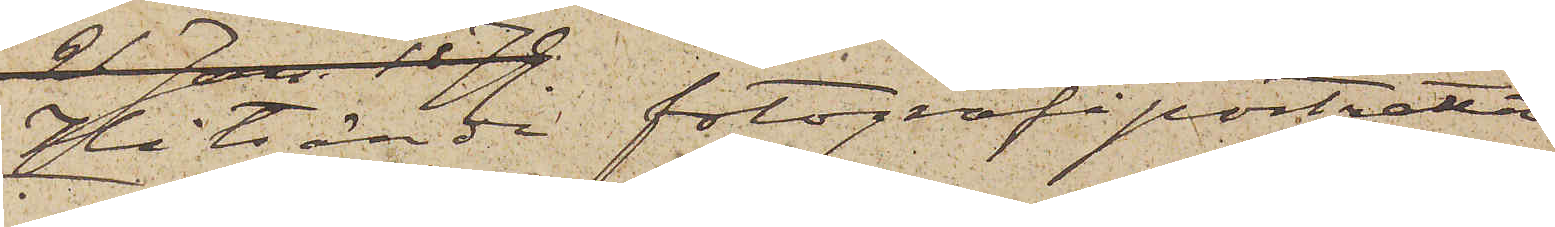Hitsända fotografiporträtt
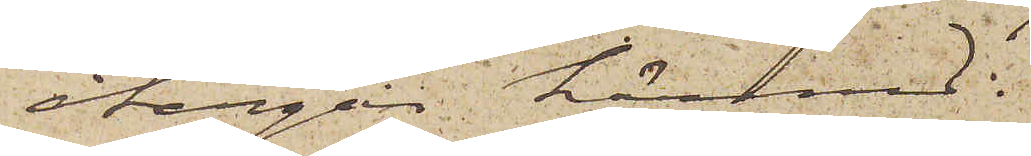återgår härmed.
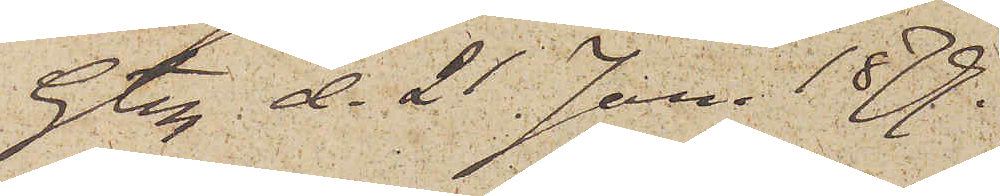Gtbg d. 21 Jan 1879.
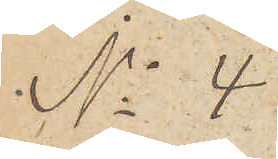No 4.
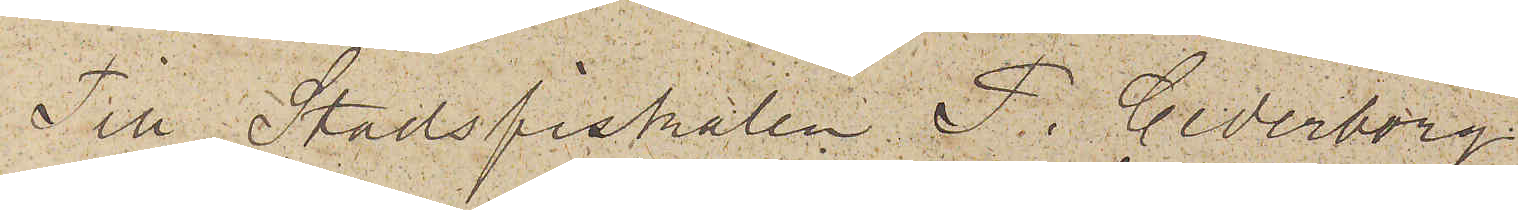Till Stadsfiskalen P. Cederborg
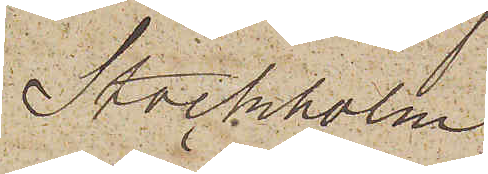Stockholm.
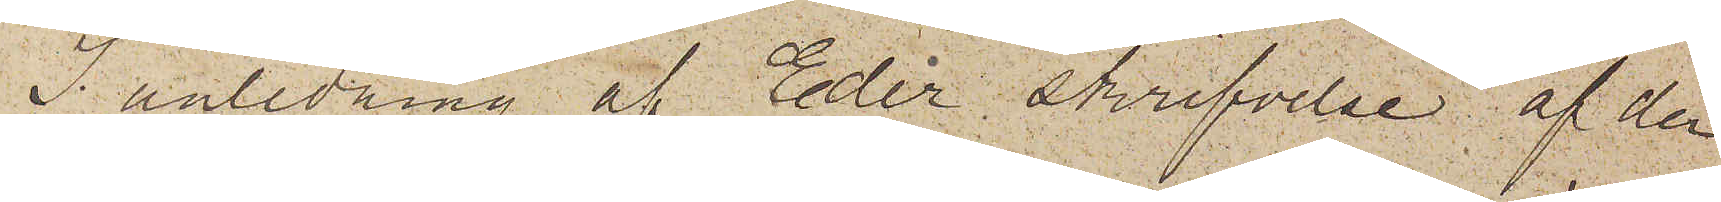I anledning af Eder skrifvelse af den
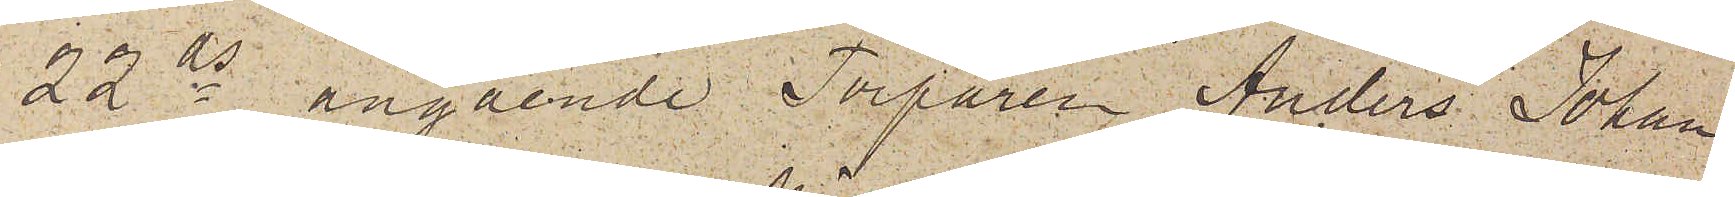22 ds angående Torparen Anders Johan
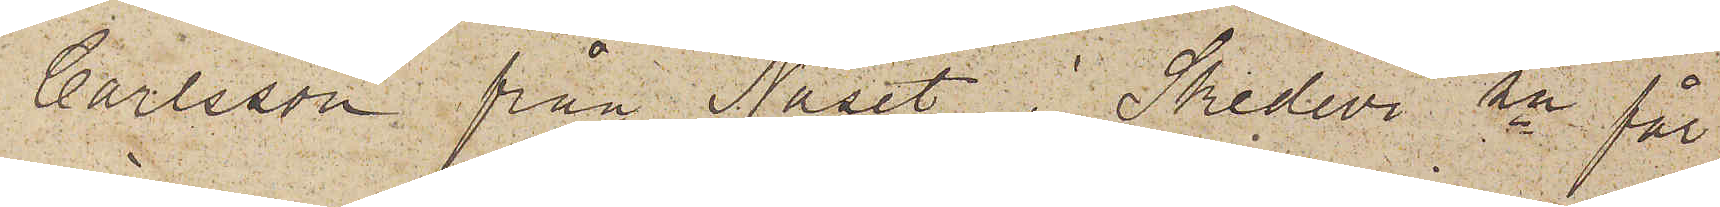Carlsson från Näset i Skedvi sn får
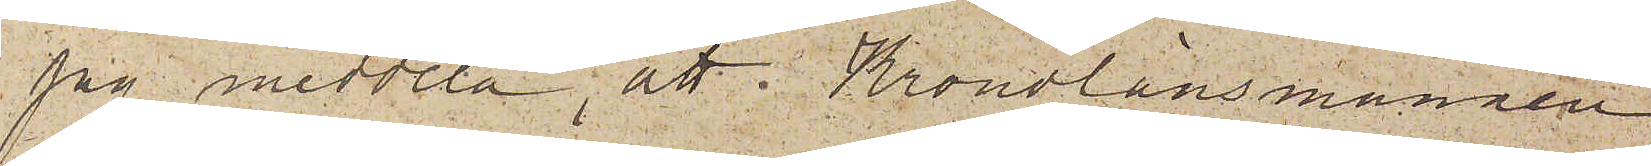jag meddela, att Kronolänsmannen
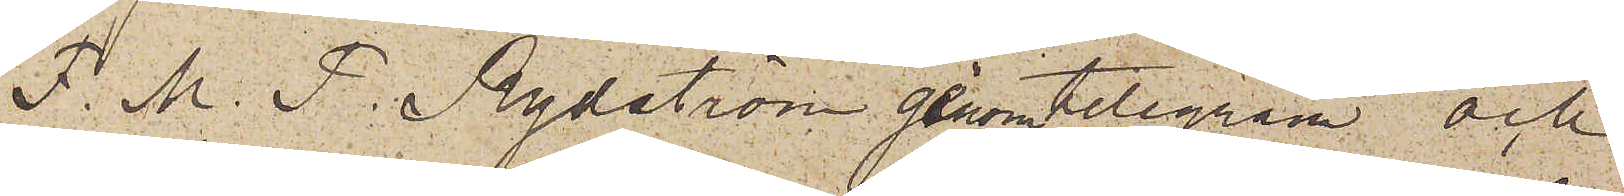F. M. P. Rydström genom telegram och
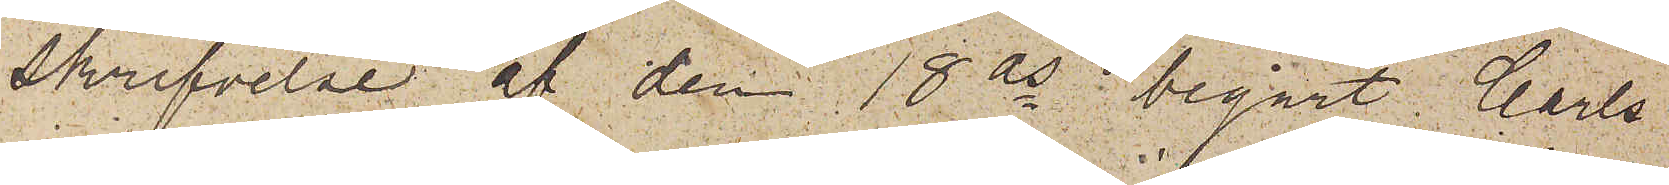Skrifvelse af den 18 ds begärt Carls¬
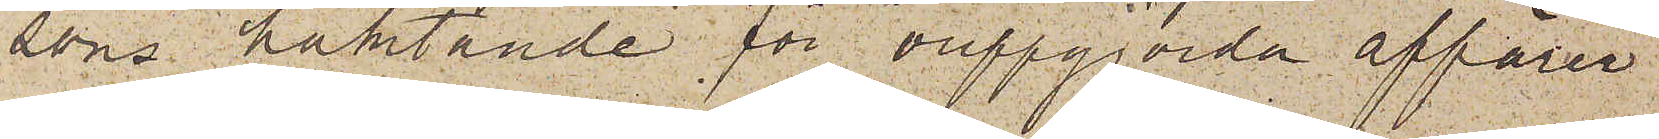sons häktande för "ouppgjorda affärer"
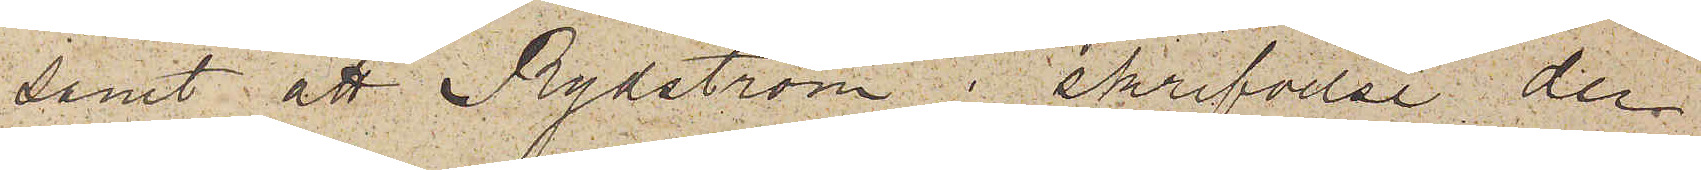samt att Rydström i skrifvelse den
